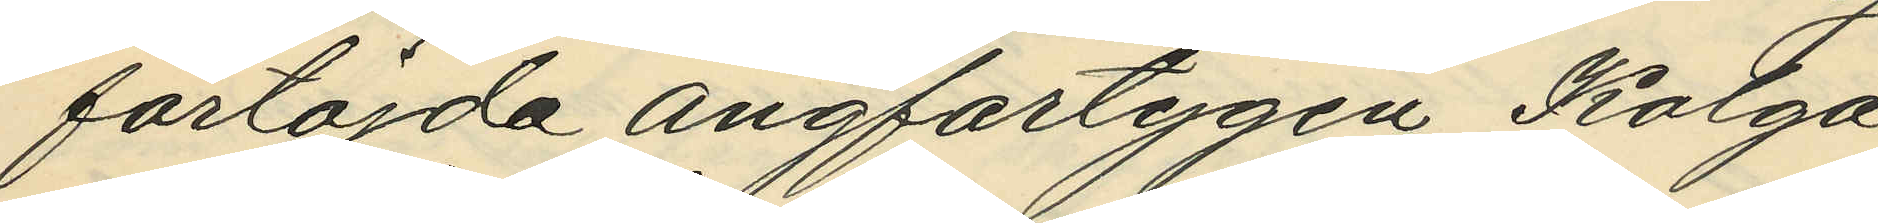förtöjda ångfartygen Kolga
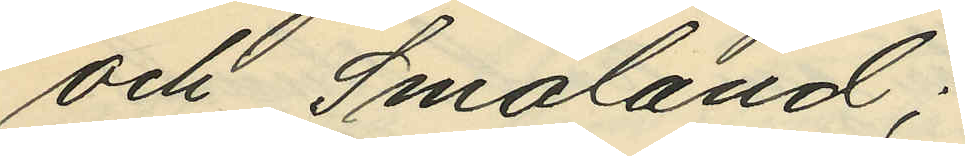och Småland;
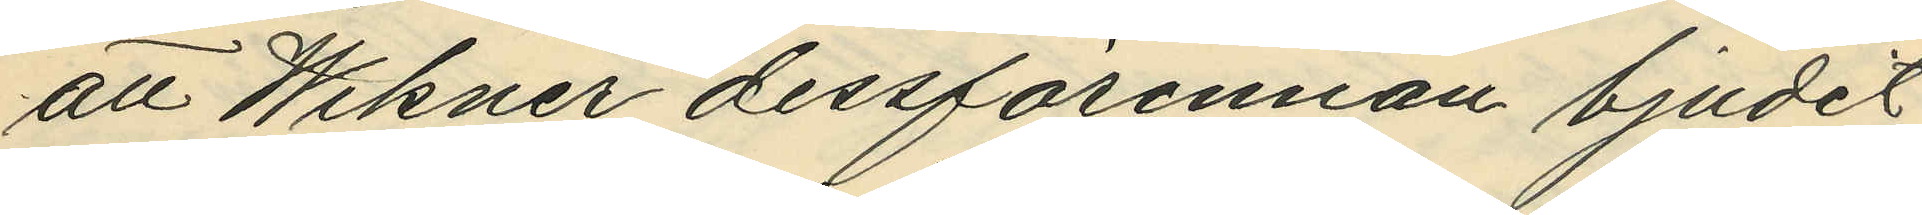att Wikner dessförinnan bjudit
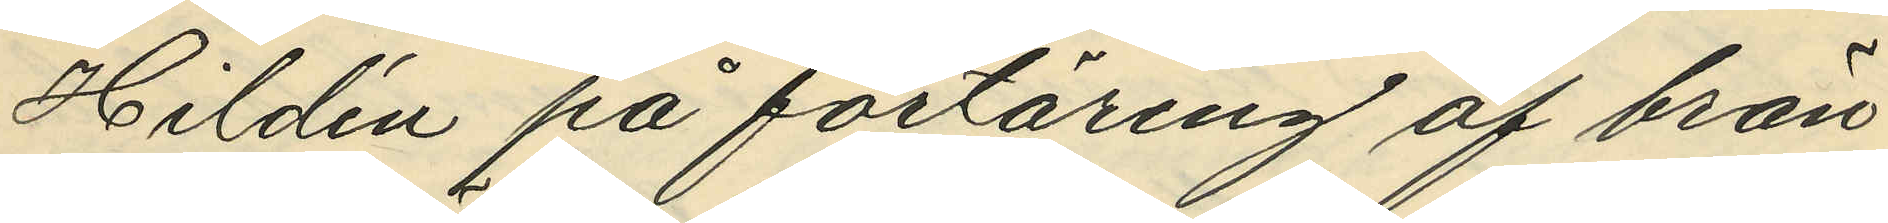Hildén på förtäring af brän¬
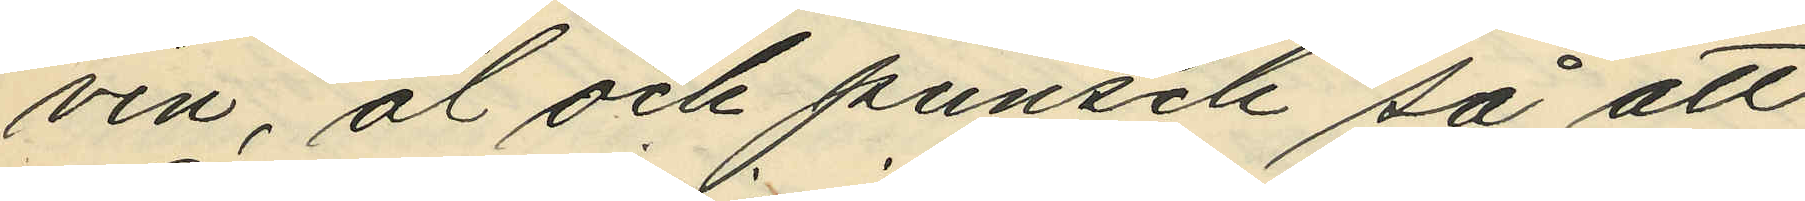vin, öl och punsch så att
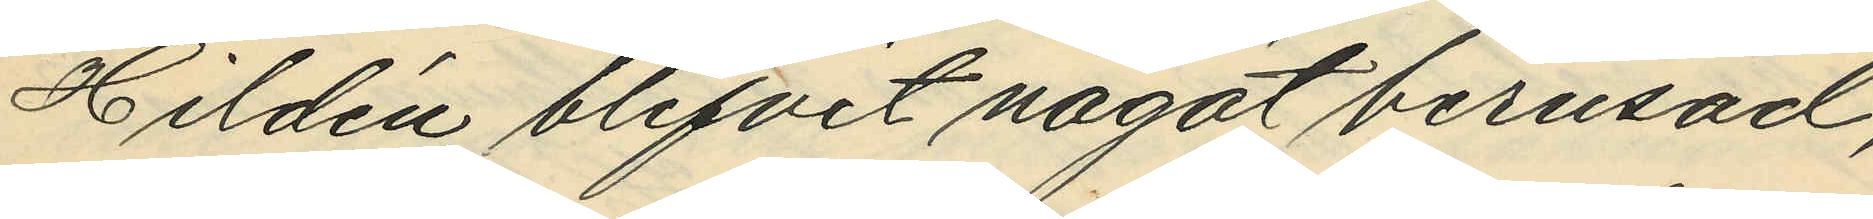Hildén blifvit något berusad,
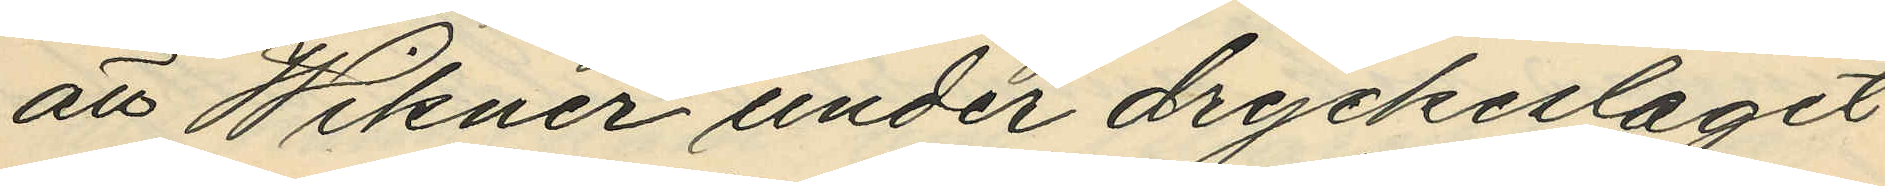att Wikner under dryckeslaget
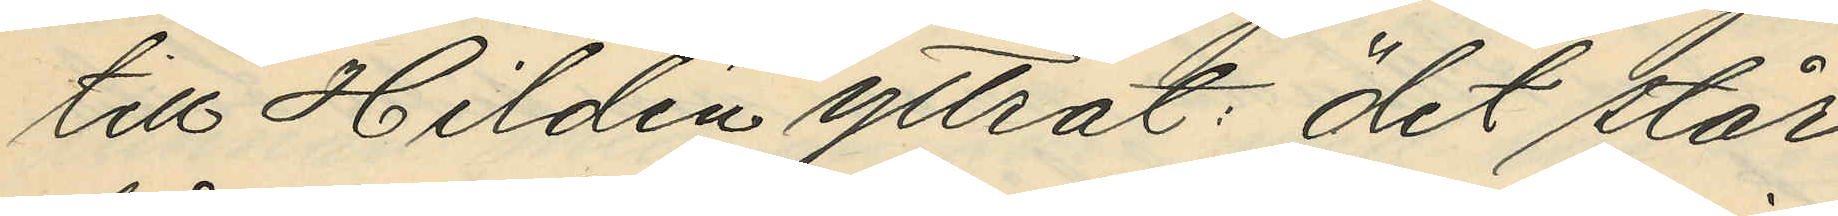till Hildén yttrat: "det står
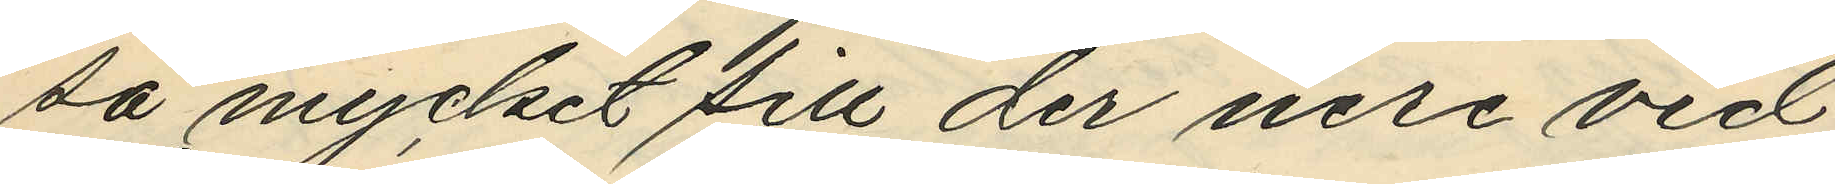så mycket sill der nere vid
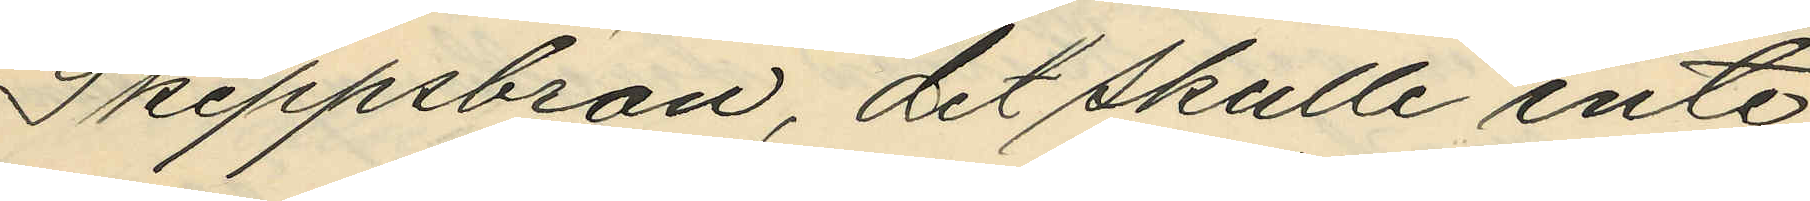Skeppsbron, det skulle inte
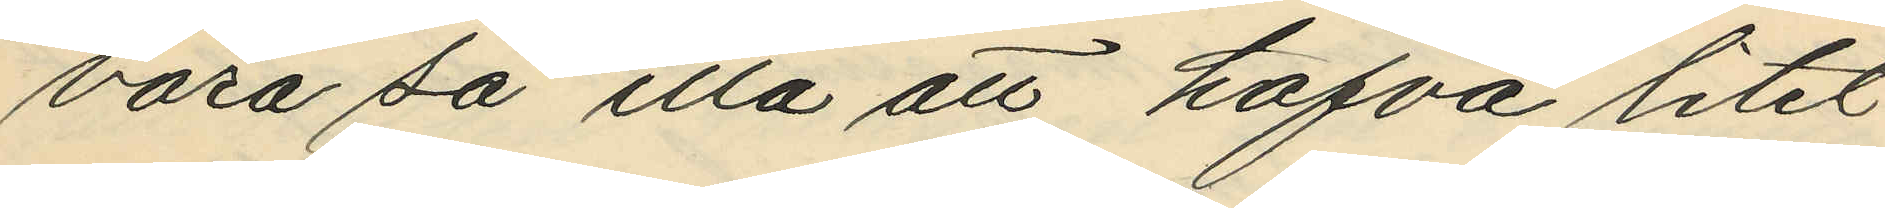vara så illa att hafva litet
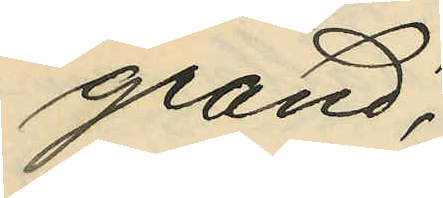grand";
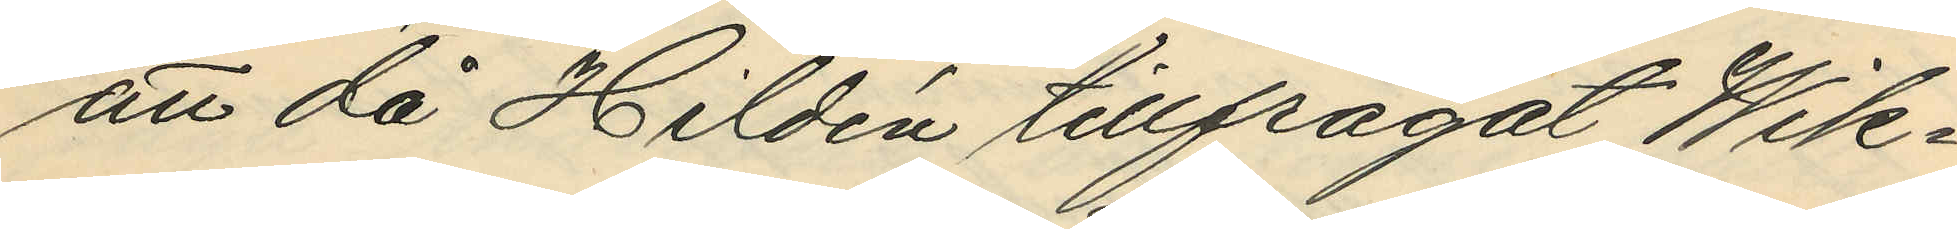att då Hildén tillfrågat Wik¬
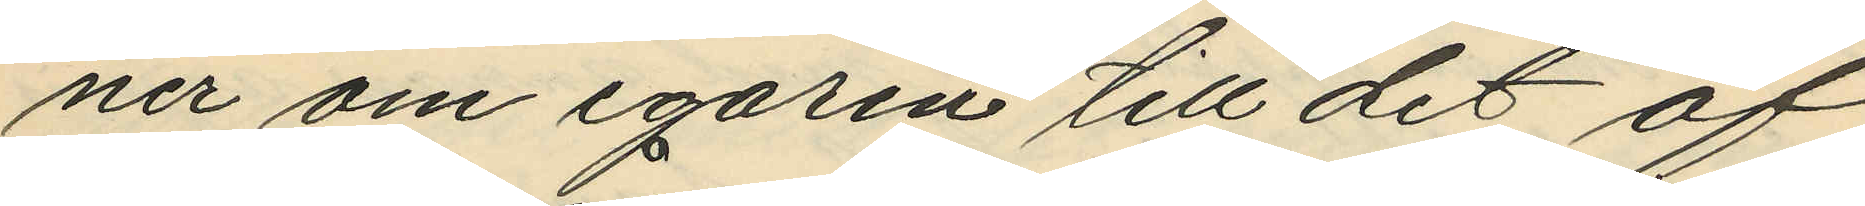ner om egaren till det af
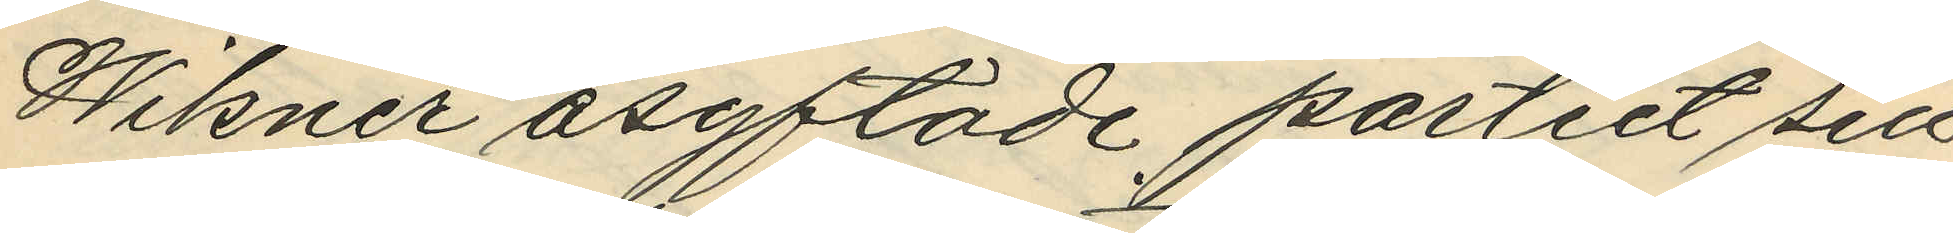Wikner åsyftade partiet sill
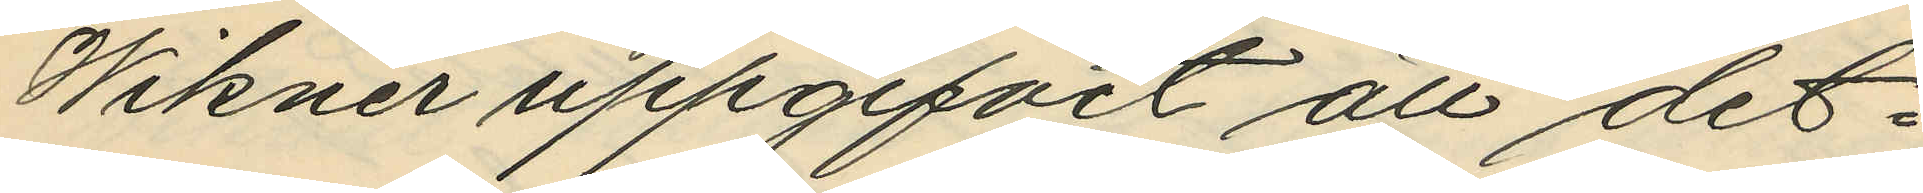Wikner uppgifvit att det¬
